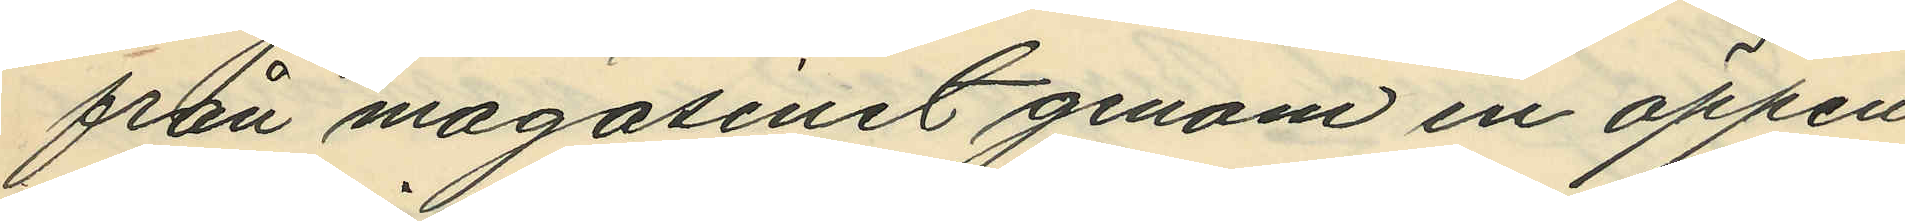från magasinet genom en öppen
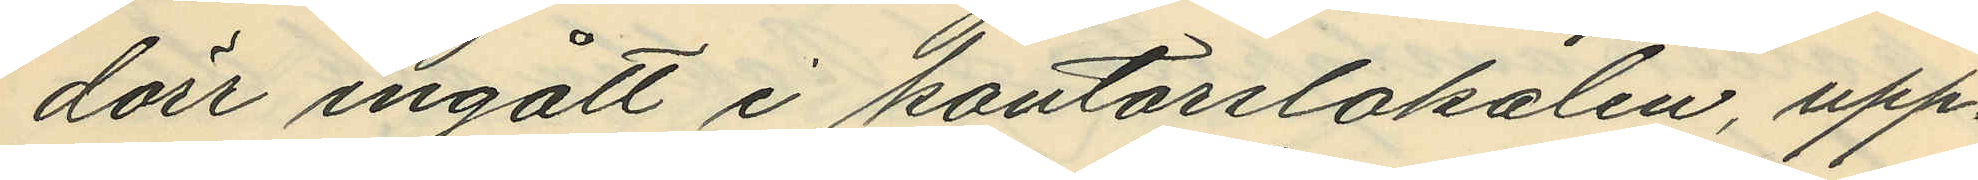dörr ingått i kontorslokalen, upp¬
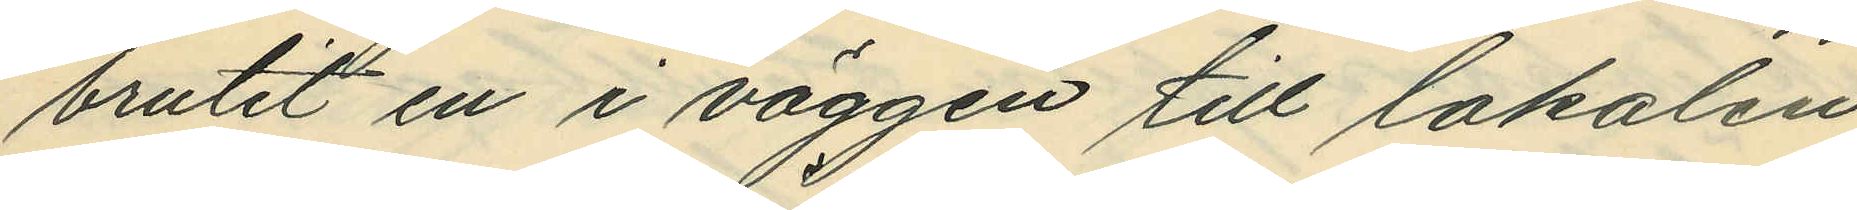brutit en i väggen till lokalen
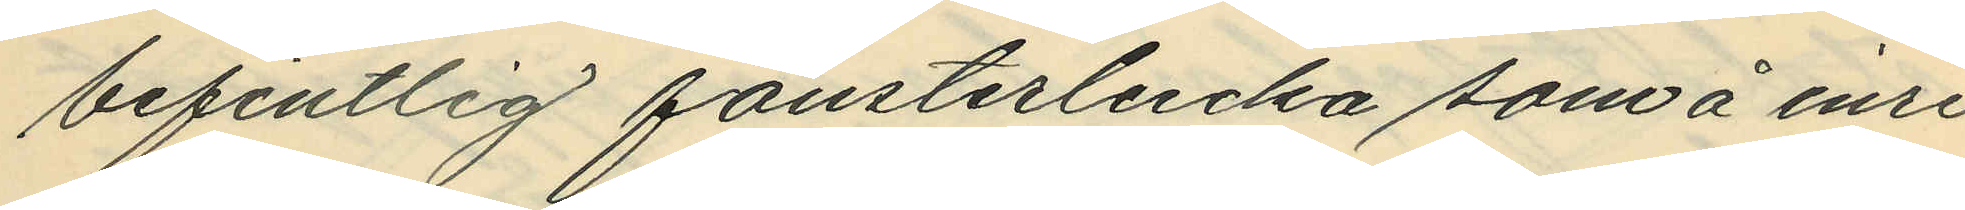befintlig fönsterlucka som å inre
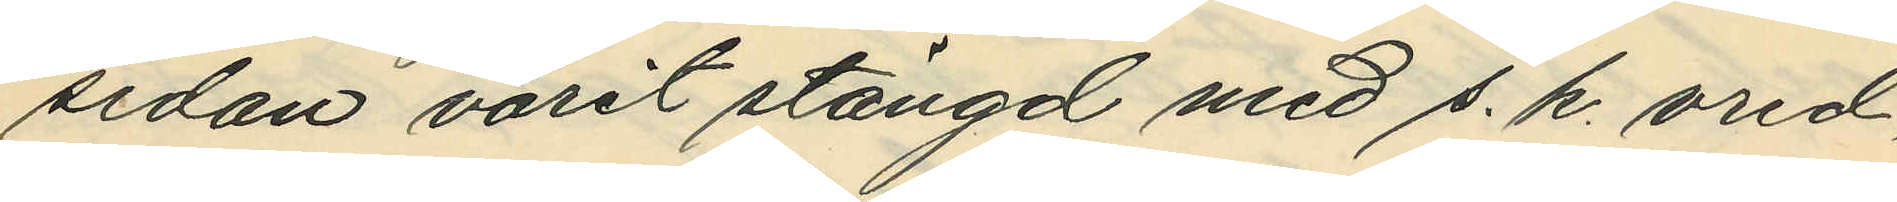sidan varit stängd med s. k. vred,
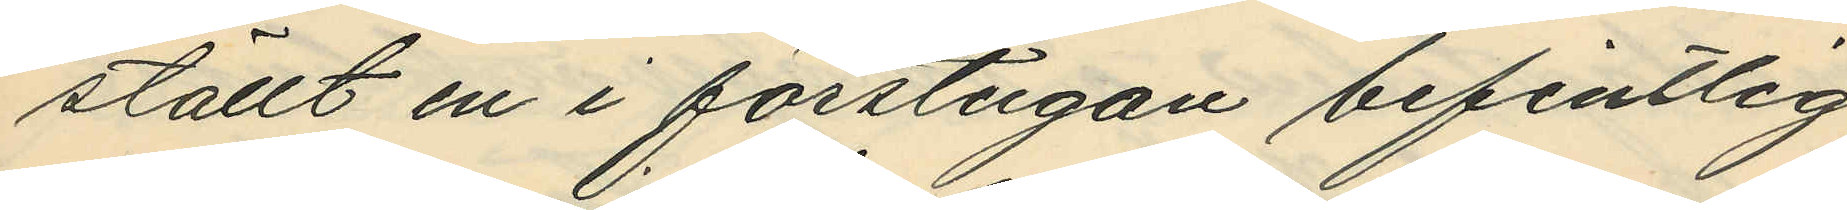ställt en i förstugan befintlig
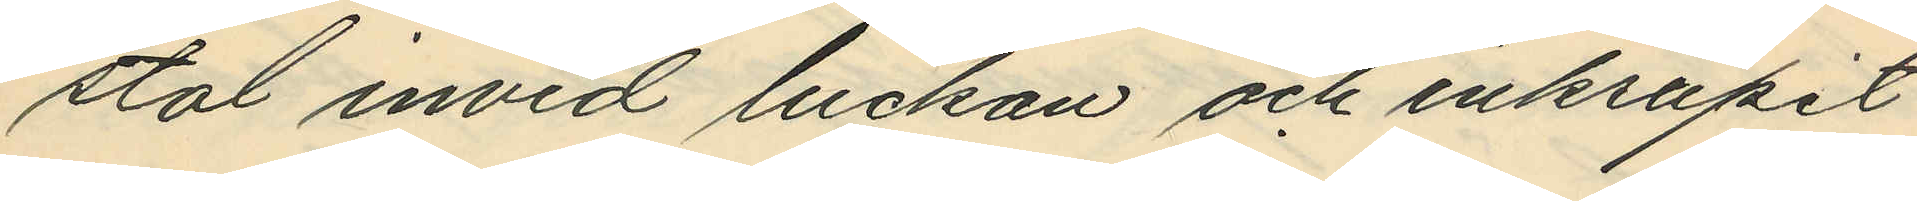stol invid luckan och inkrupit
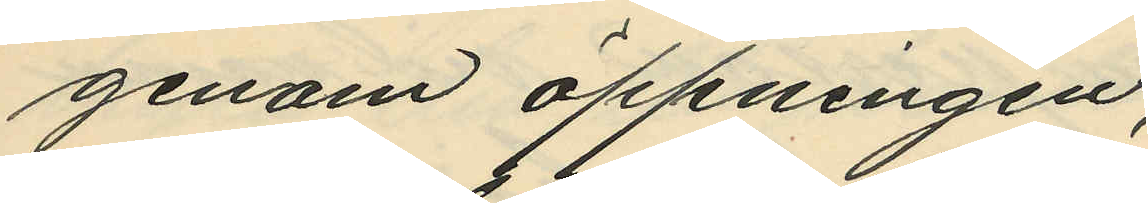genom öppningen;
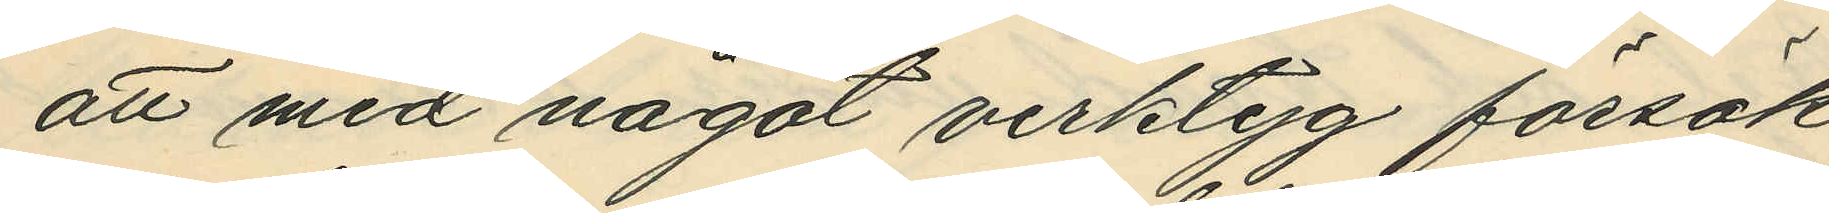att med något verktyg försök
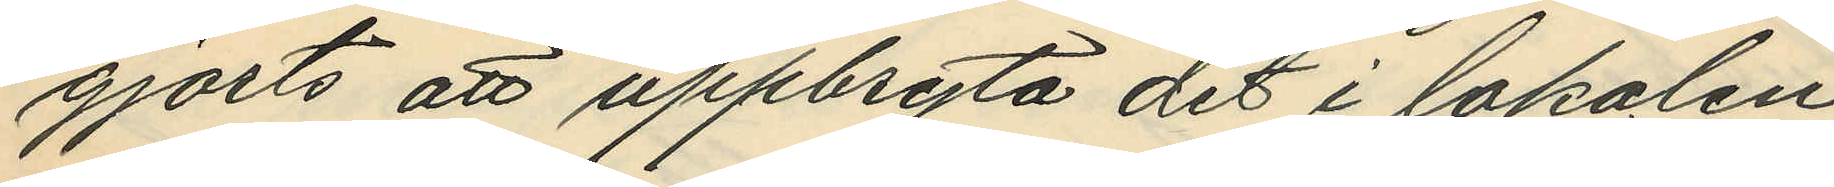gjorts att uppbryta det i lokalen
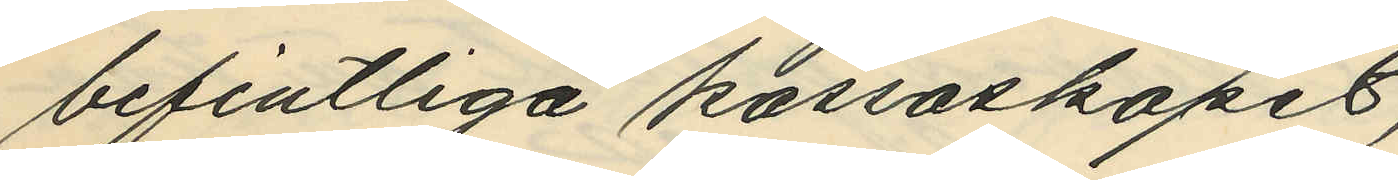befintliga kassaskåpet,
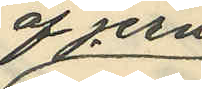af jern
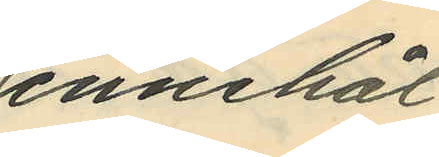innehål¬
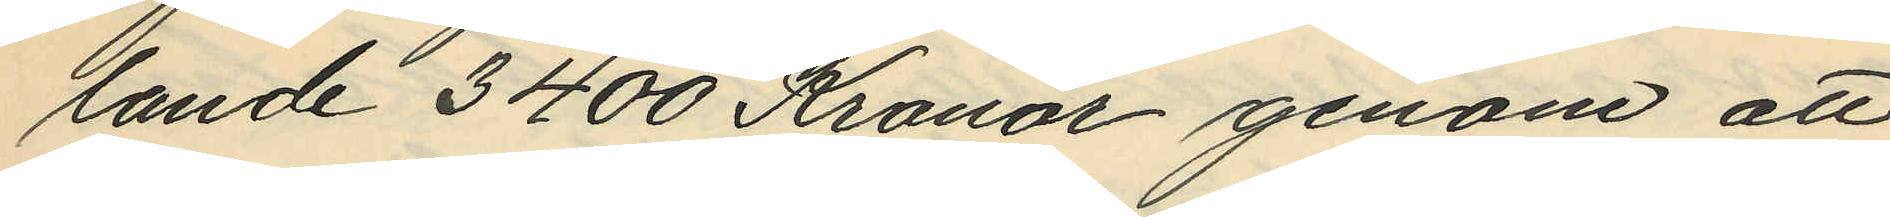lande 3400 Kronor genom att
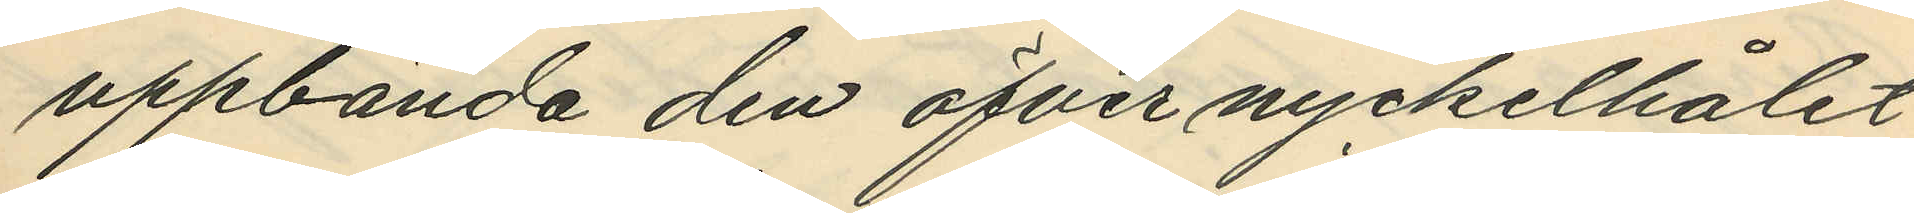uppbända den öfver nyckelhålet
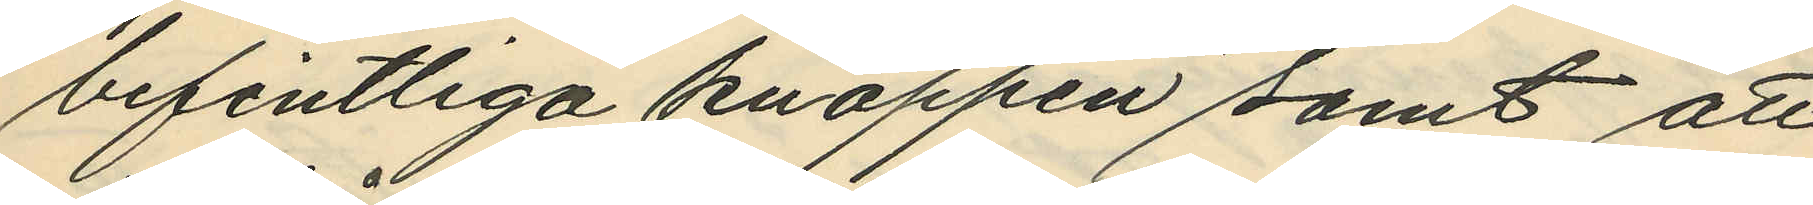befintliga knappen samt att
